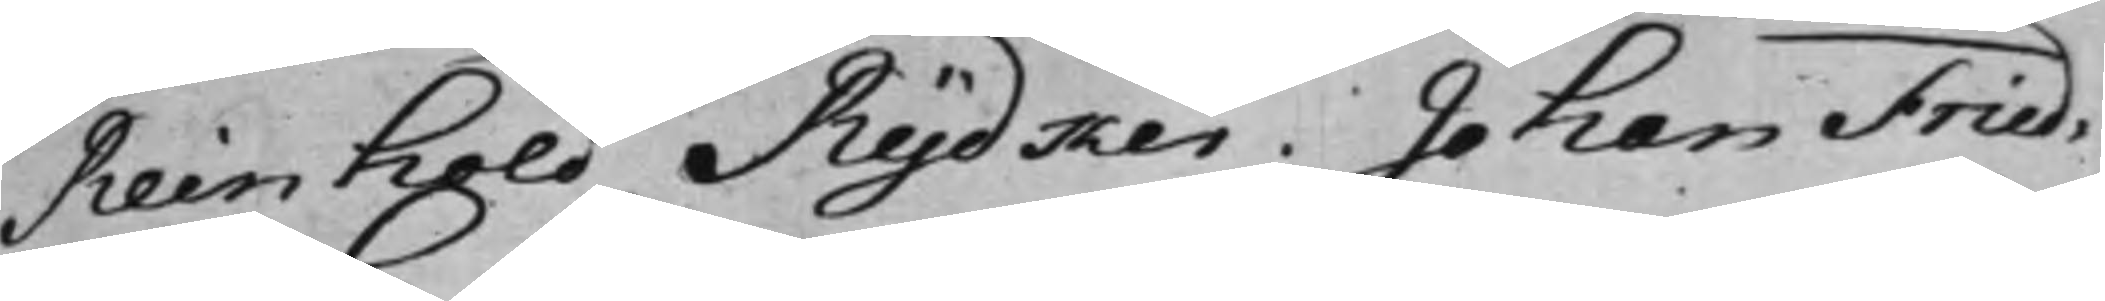Reinhold Rydker. Johan Fried.
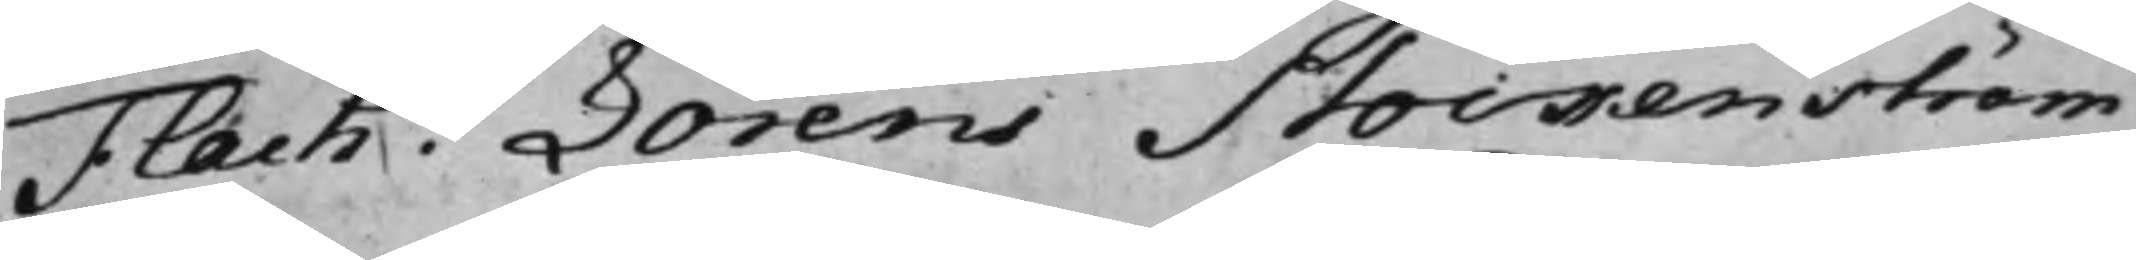Flach. Lorens Stockenström
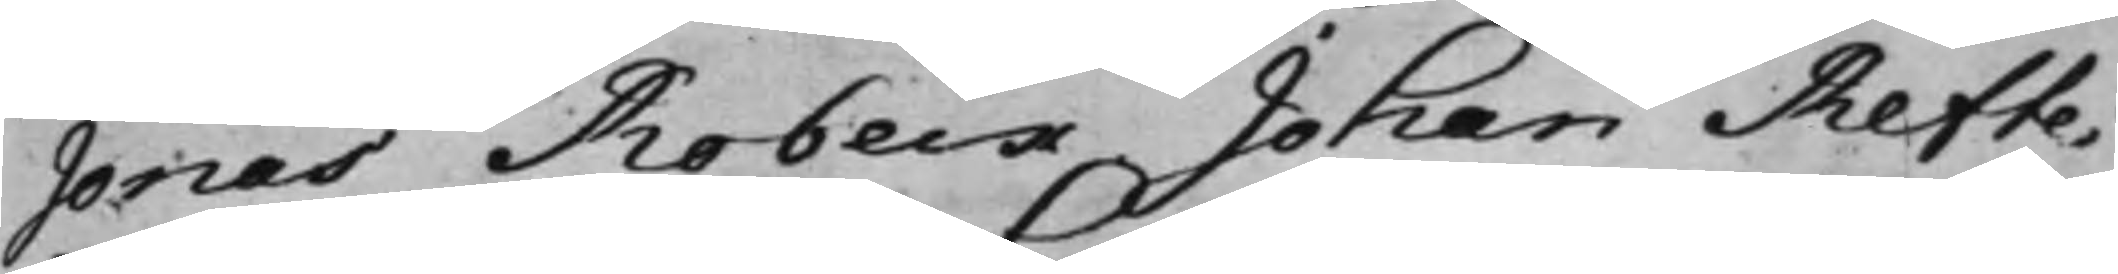Jonas Robeck. Johan Refte¬
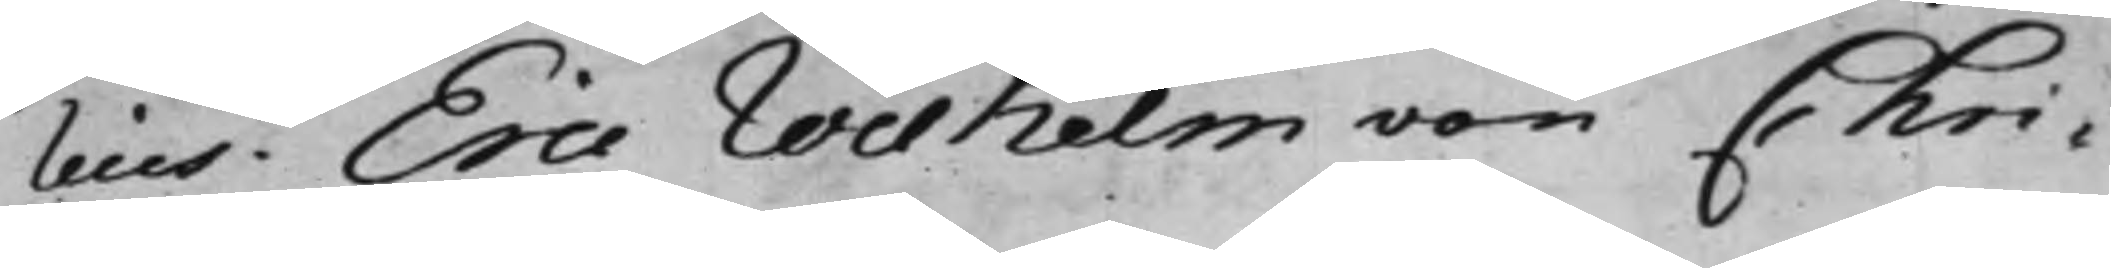lius. Eric Wilhelm von Chri¬
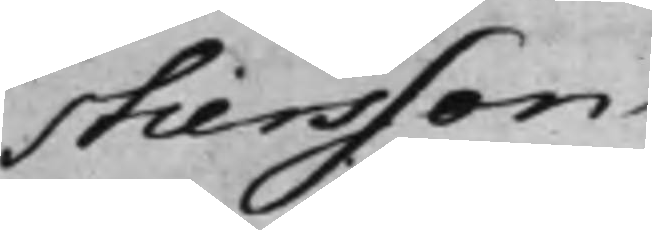stiersson.
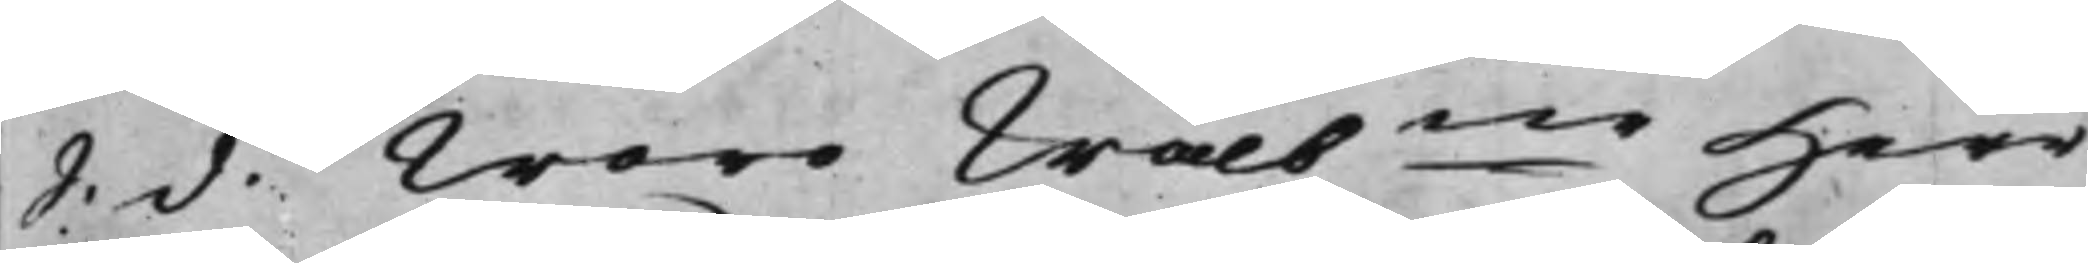S. d. Woro Wälbne Herr
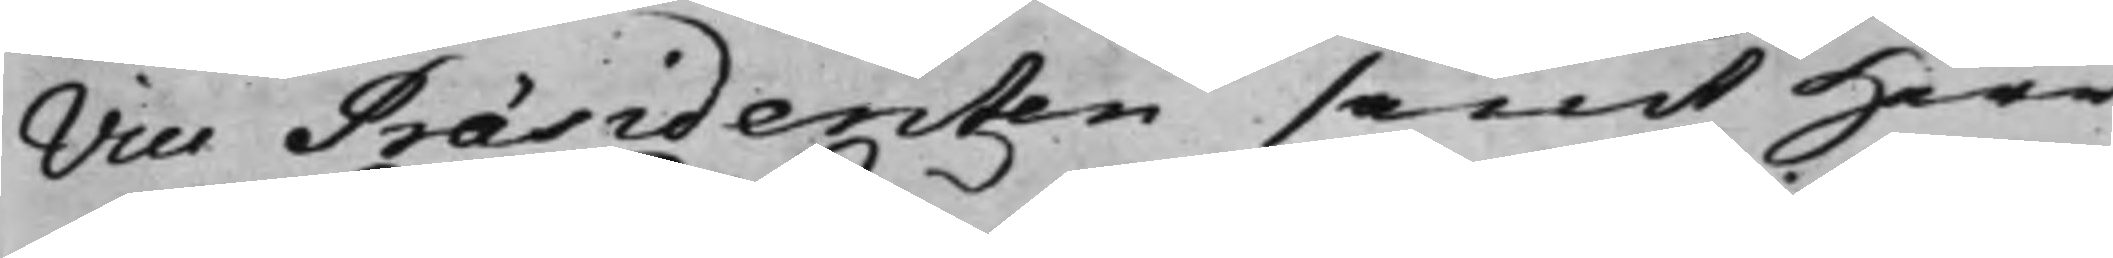Vice Præsidenten samt Herr
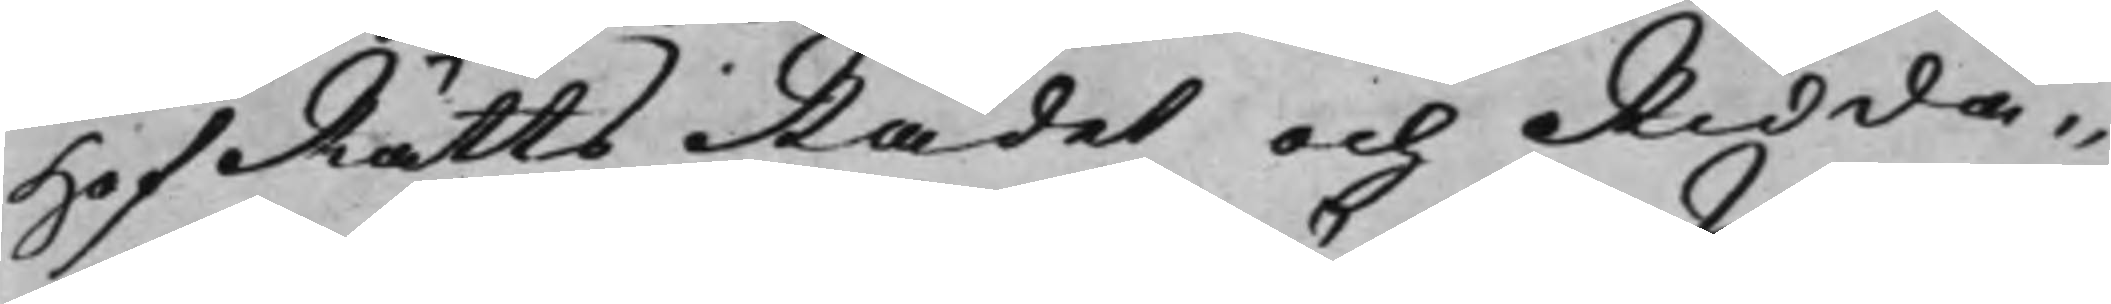HofRättsRådet och Ridda¬
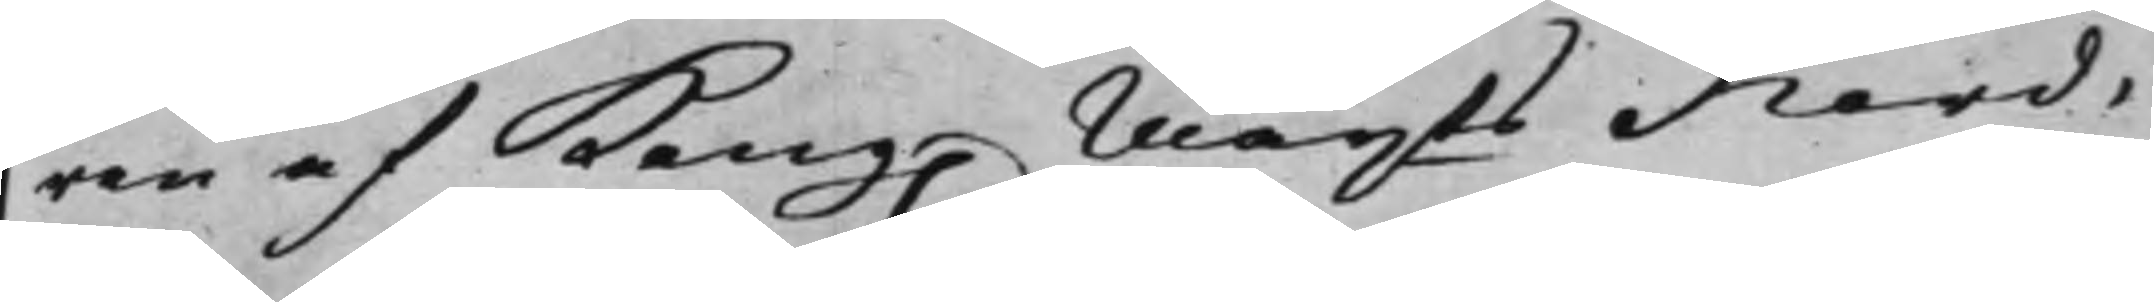ren af Kong. Mayts Nord¬
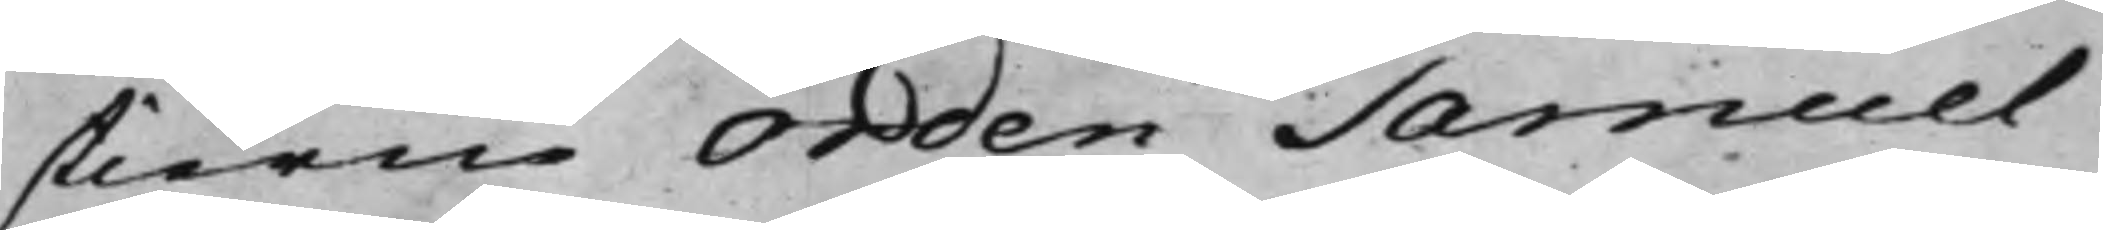stierne Orden Samuel
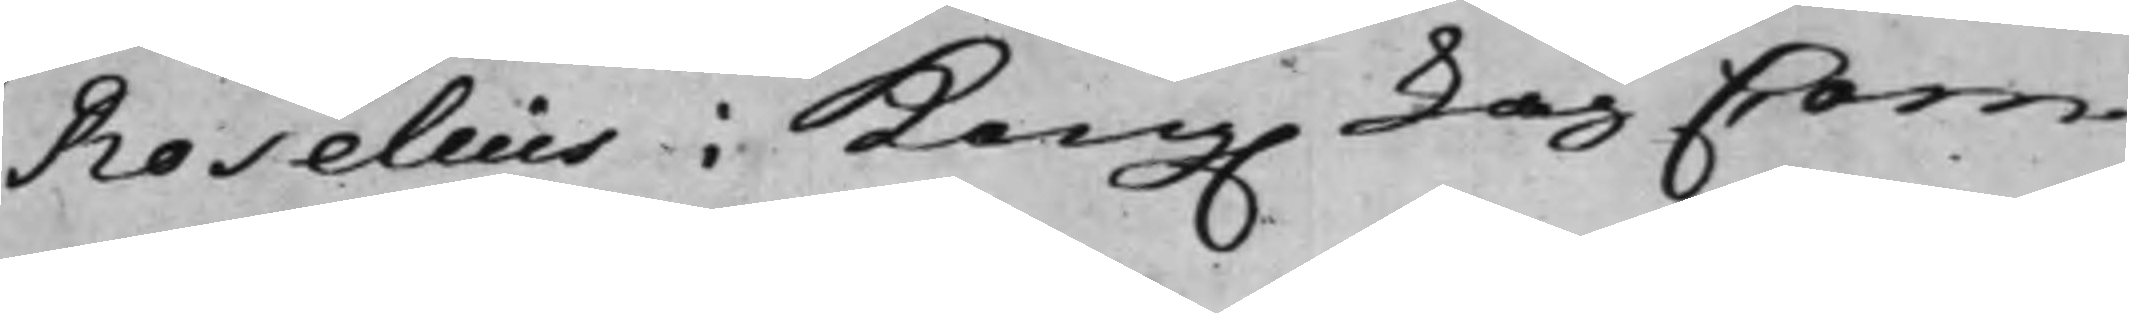Roselius i Kong. LagCorn¬
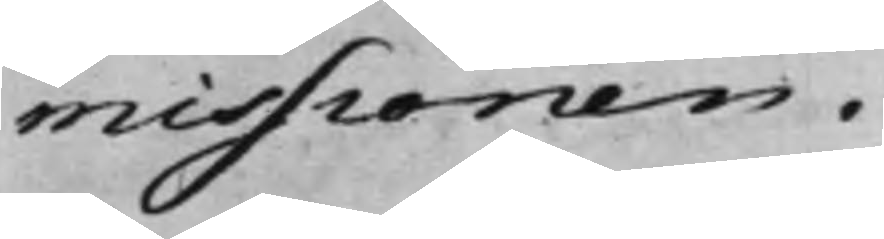missionen.
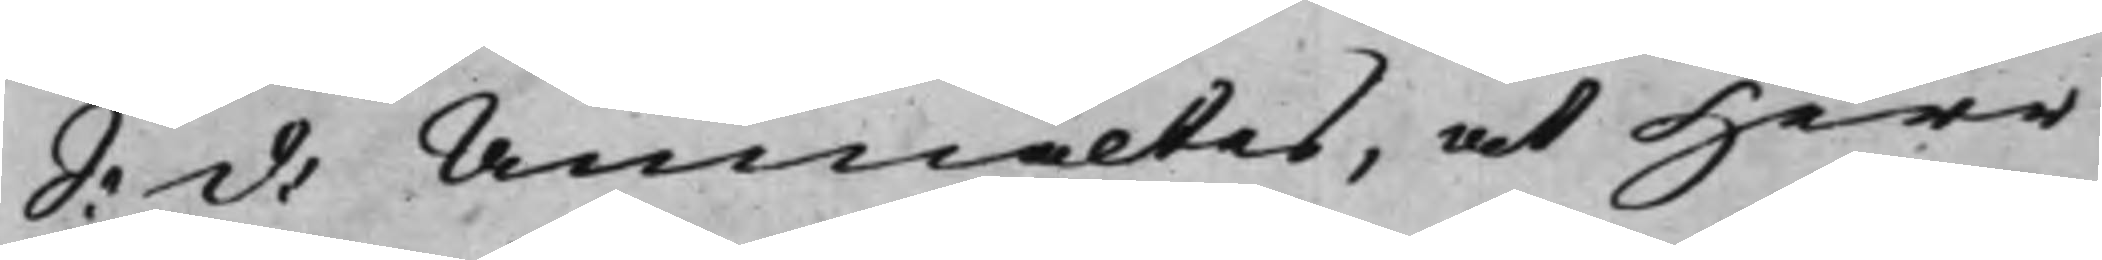S: d: Anmältes, at Herr
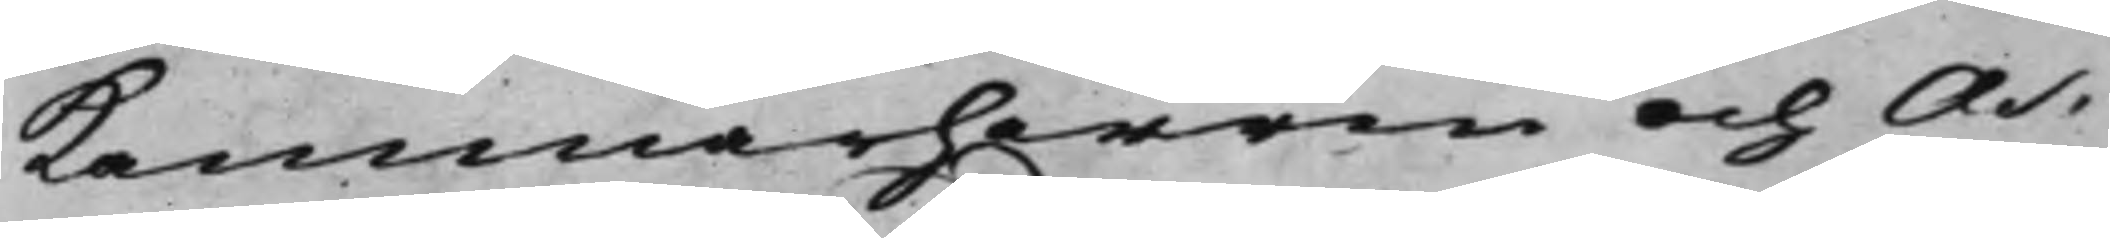Kammarherren och As¬
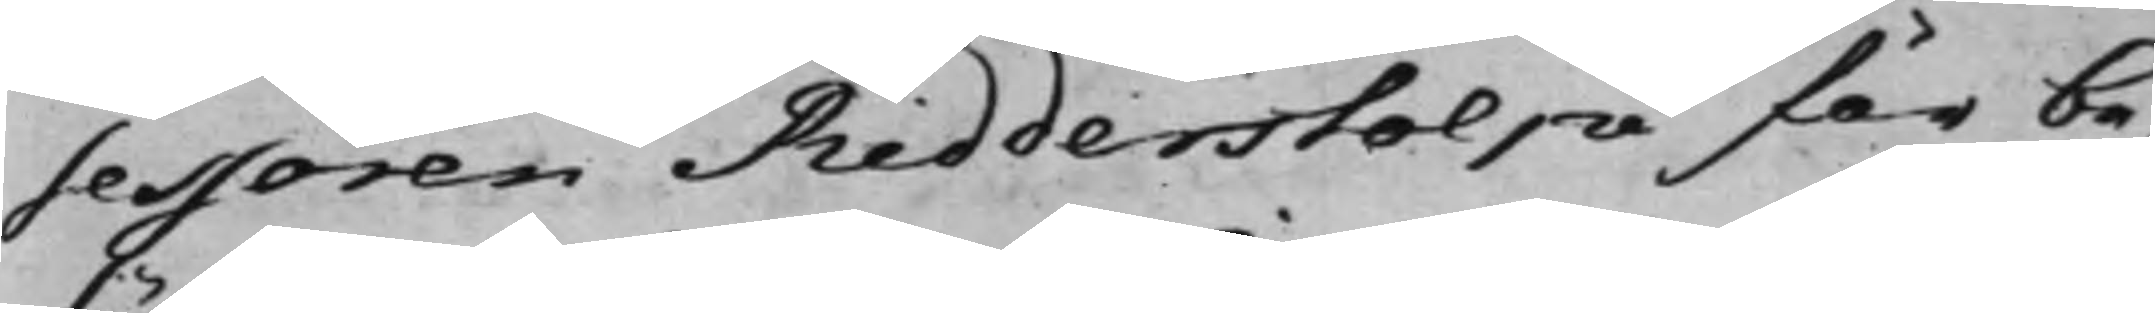sessoren Ridderstolpe för be¬
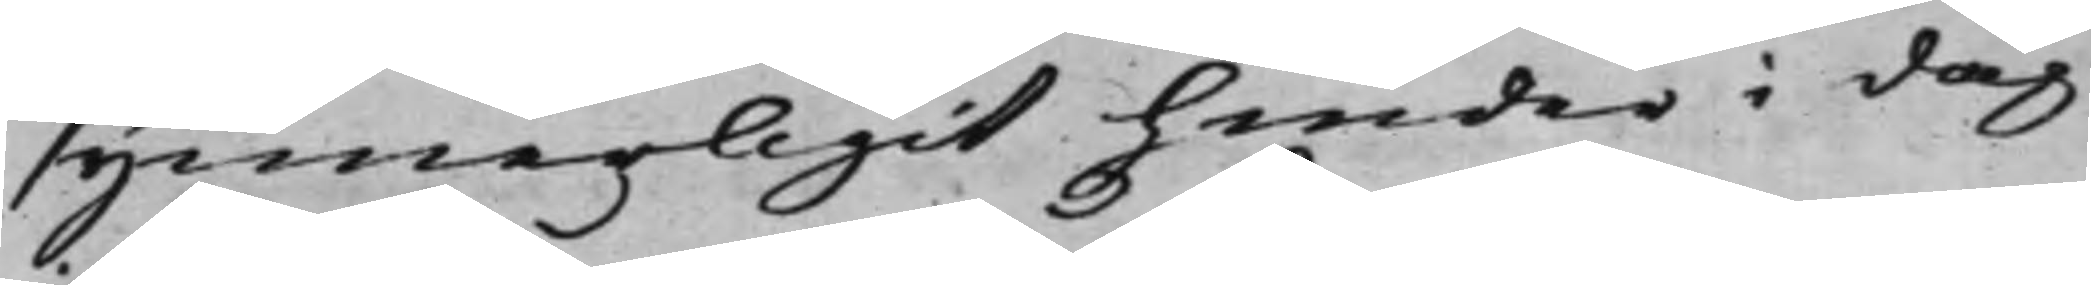synnerligit hinder i dag
